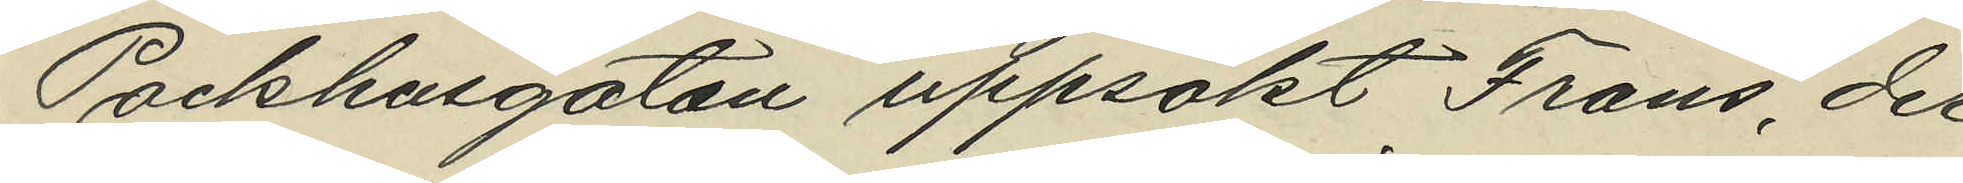Packhusgatan uppsökt Frans, der
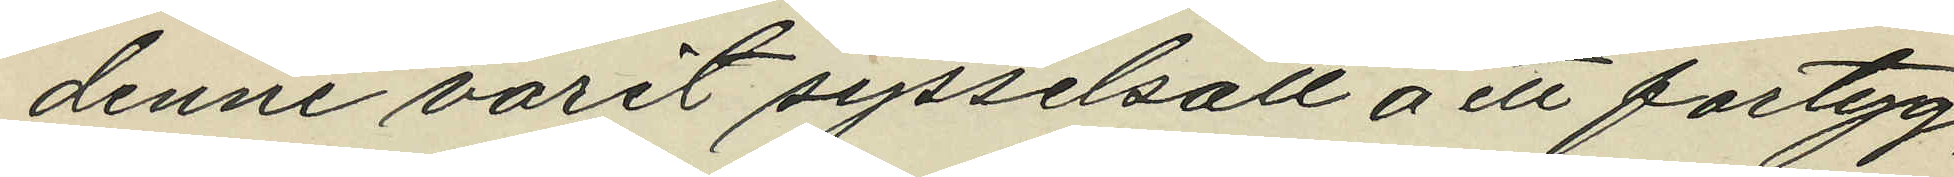denne varit sysselsatt å ett fartyg,
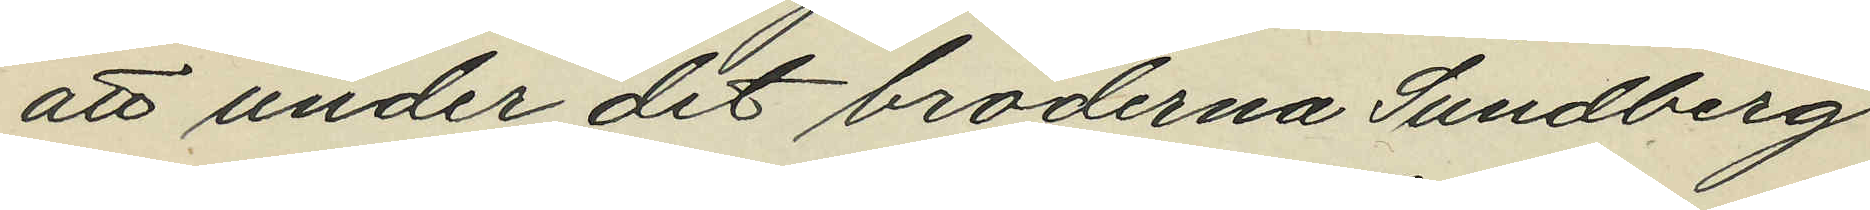att under det bröderna Sundberg
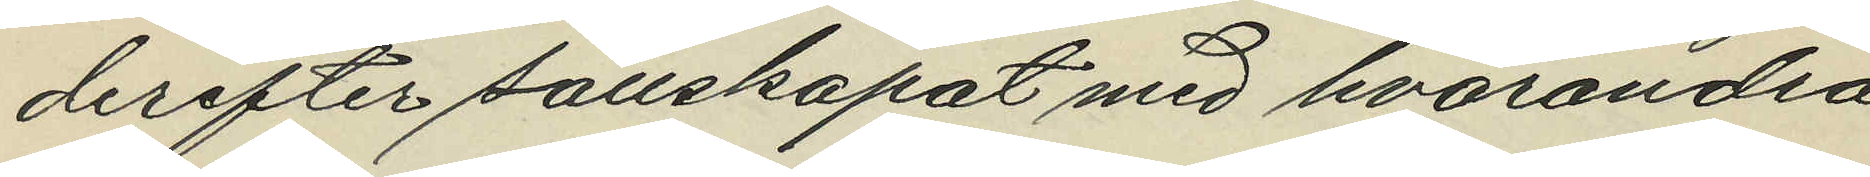derefter sällskapat med hvarandra
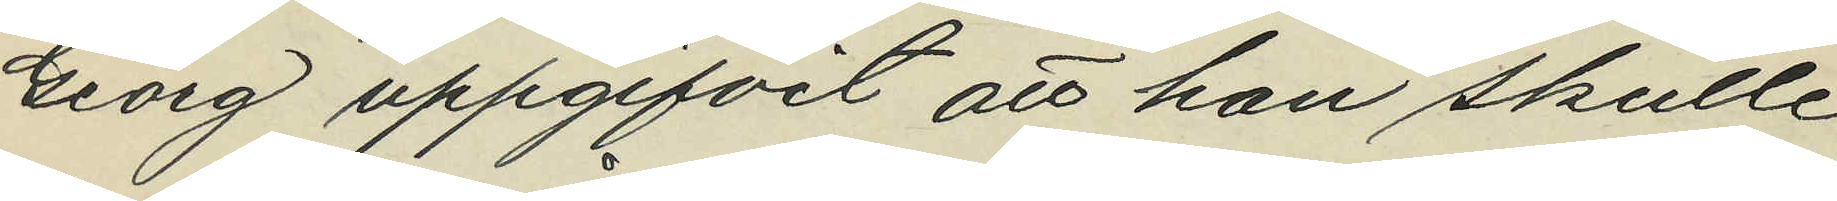Georg uppgifvit att han skulle
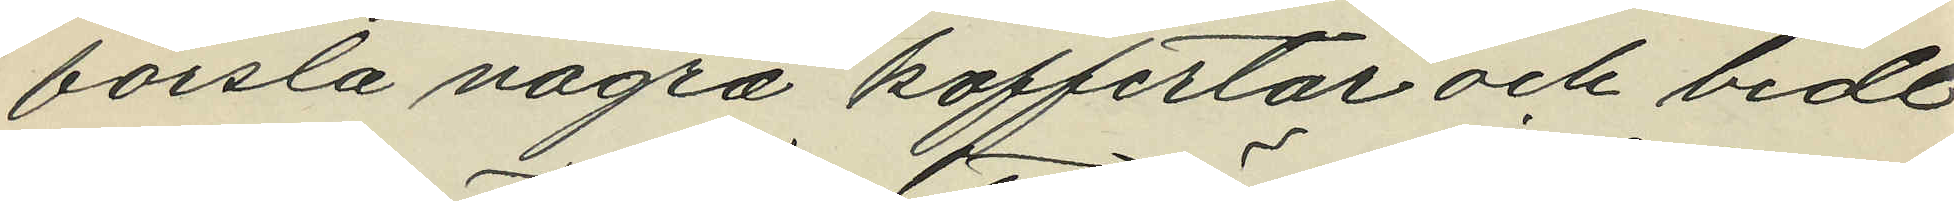forsla några koffertar och bedt
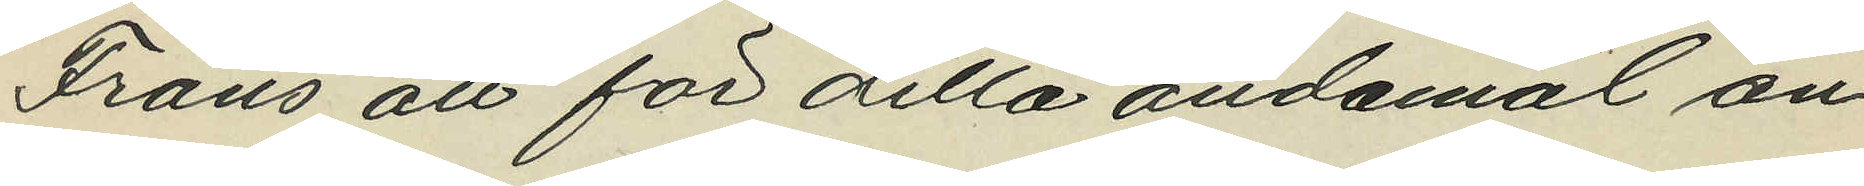Frans att för detta ändamål an¬
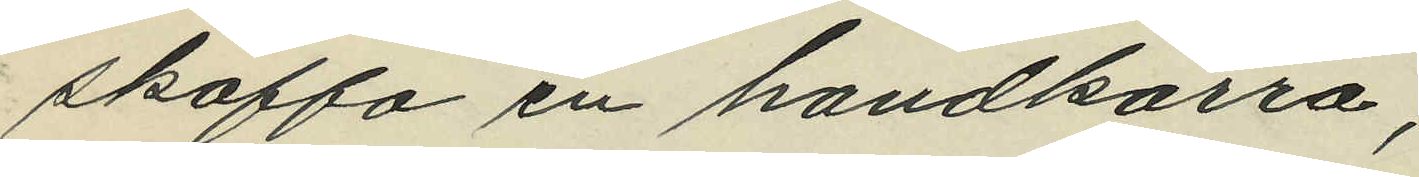skaffa en handkärra;
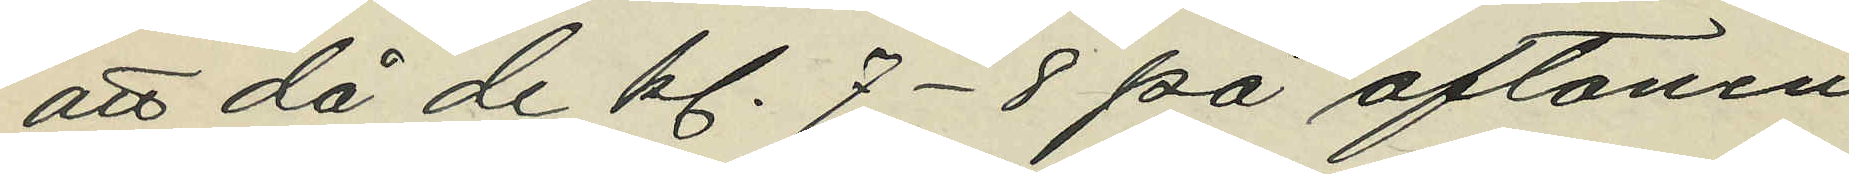att då de kl. 7-8 på aftonen
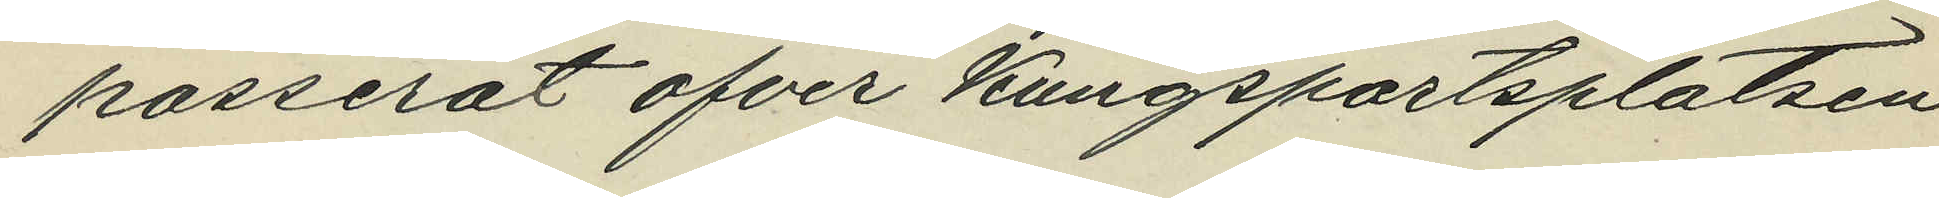passerat ofver Kungsportsplatsen
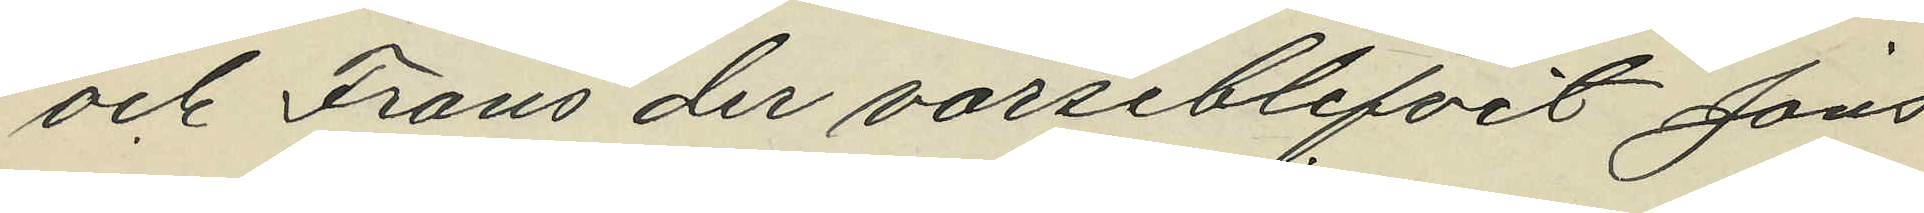och Frans der varseblifvit Jons¬
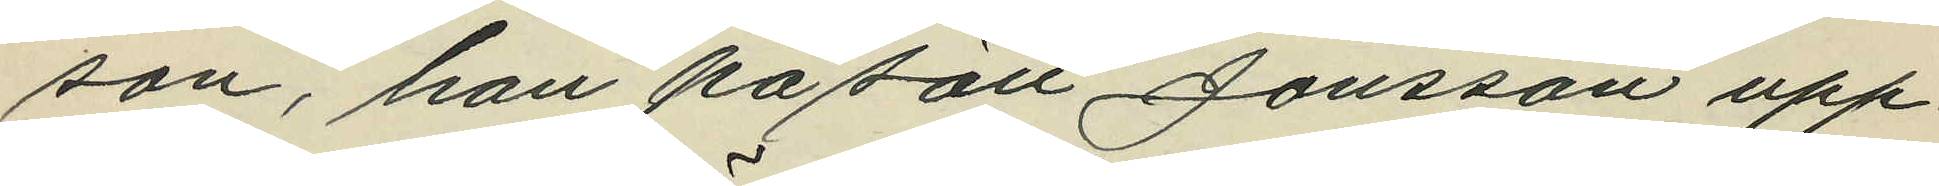son, han på sätt Jonsson upp¬
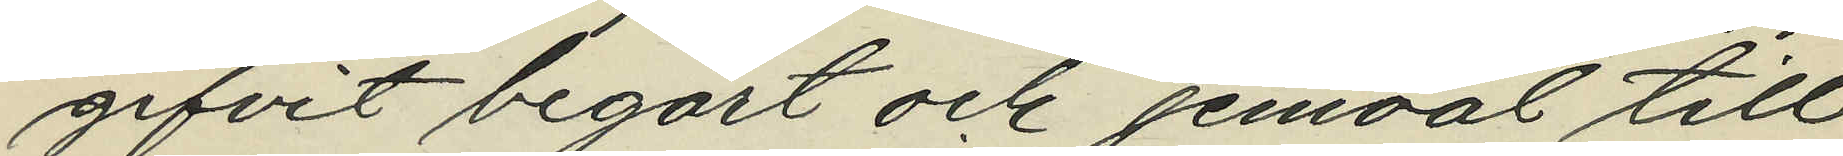gifvit begärt och jemväl till
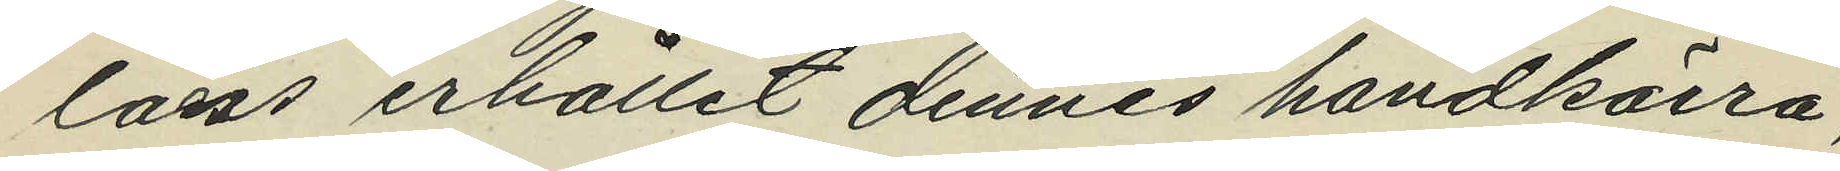låns erhållit dennes handkärra,
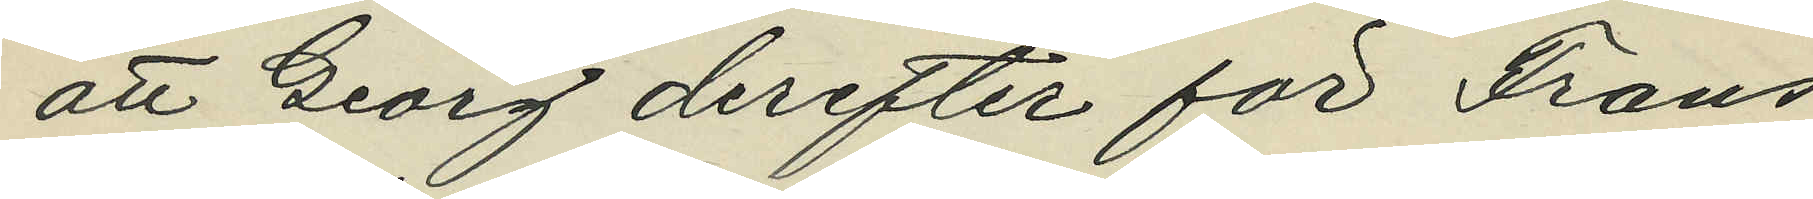att Georg derefter för Frans
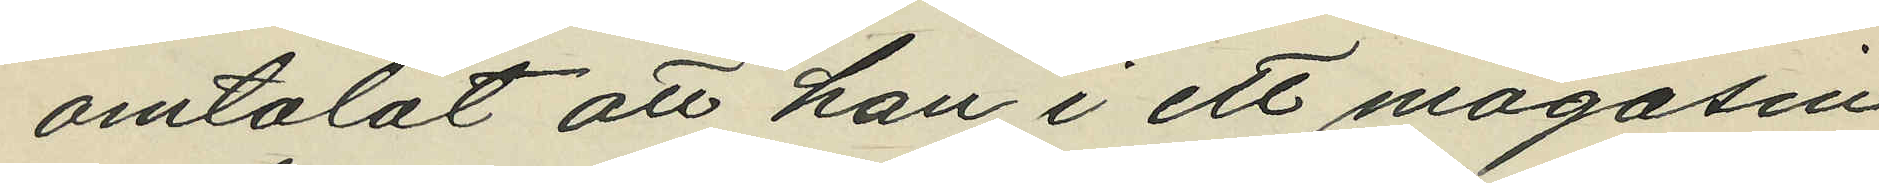omtalat att han i ett magasin
